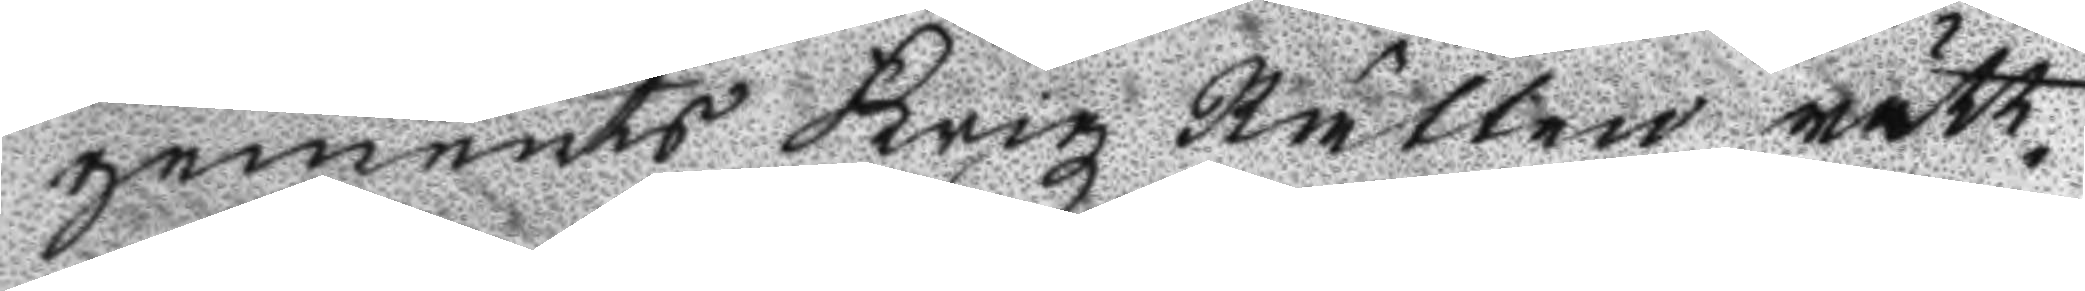gements Krigz Rätten rätt¬
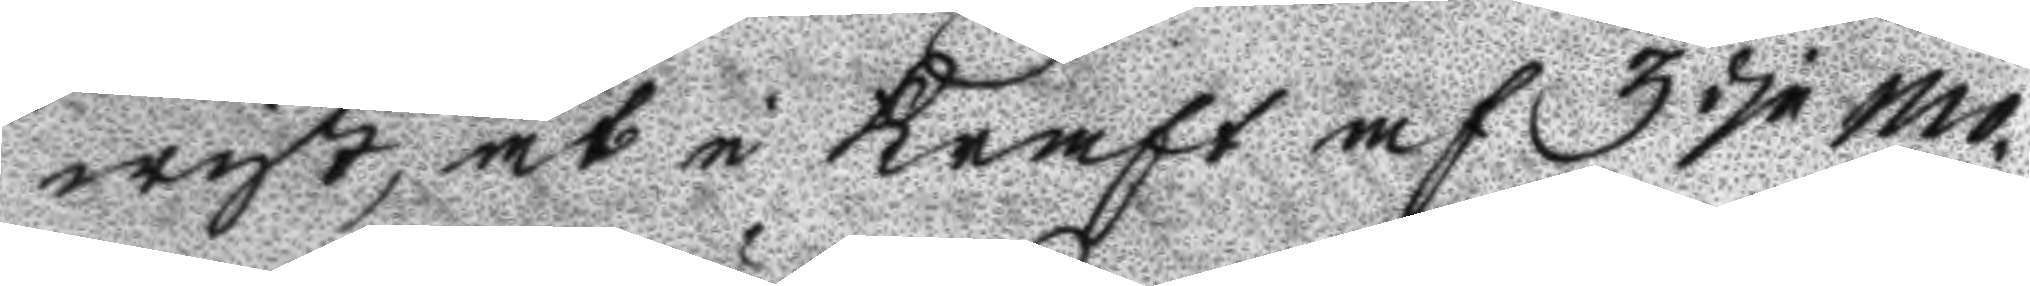wist, at i Kraft af 3 dje mo¬
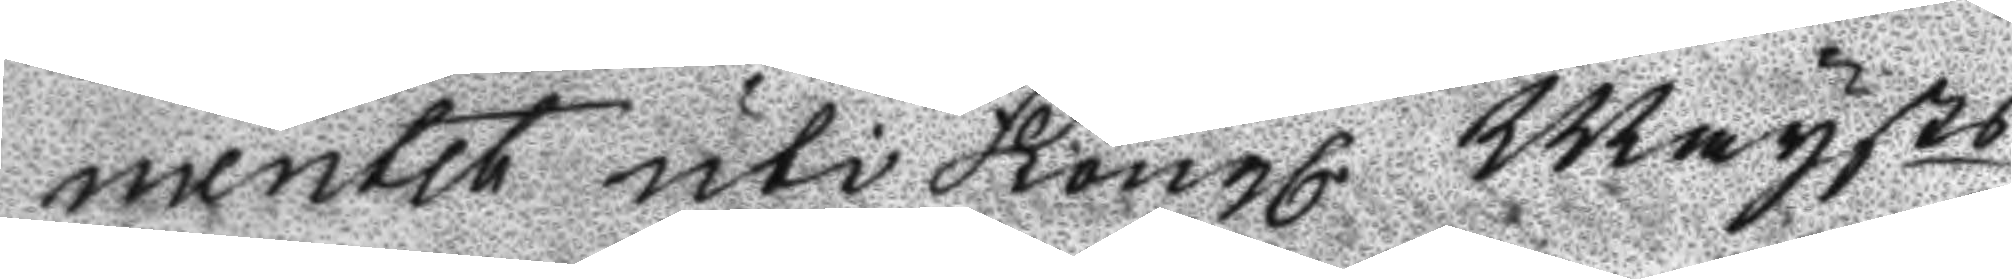mentet uti Kongl. Maysts
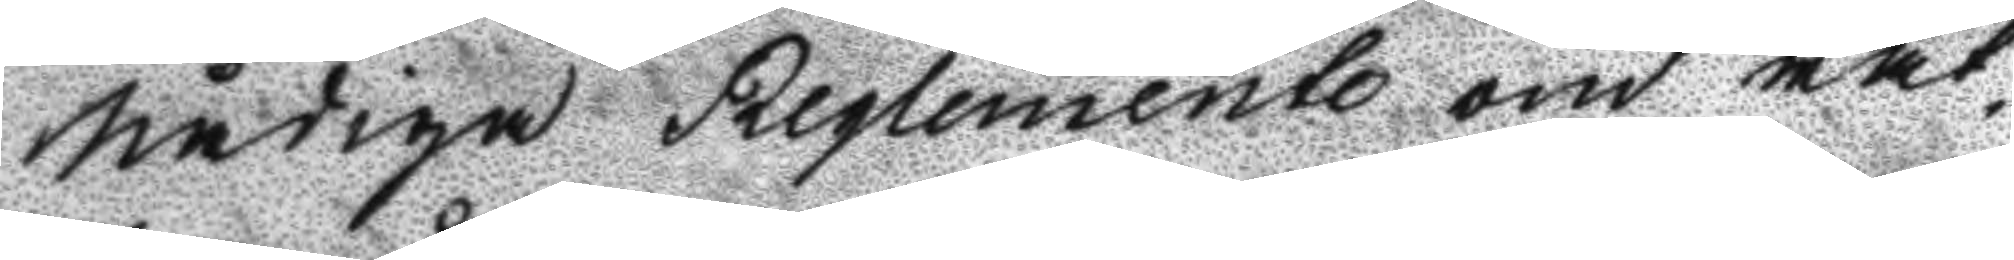nådiga Reglemente om rät¬
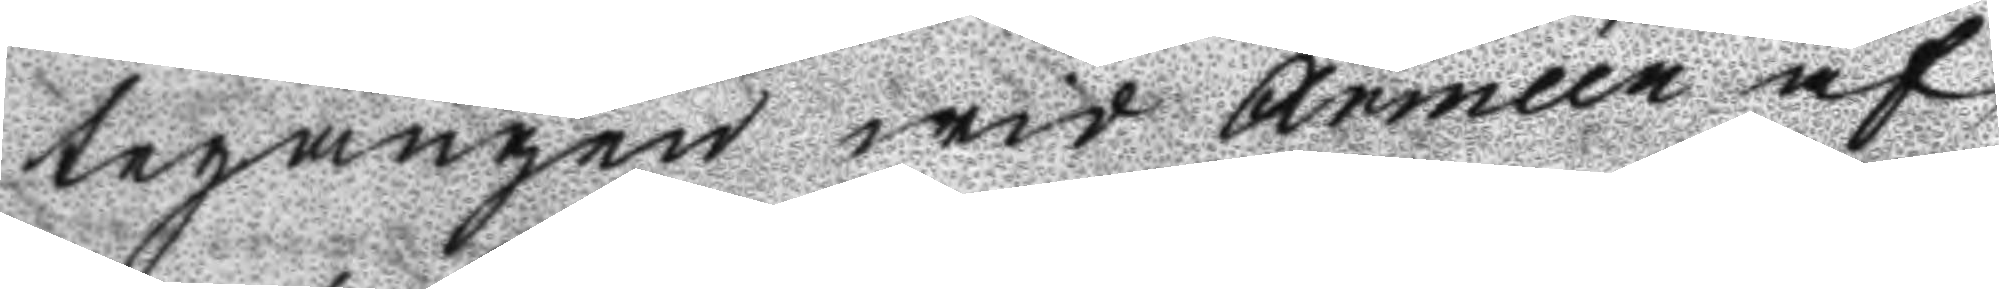tegången wid Arméen af
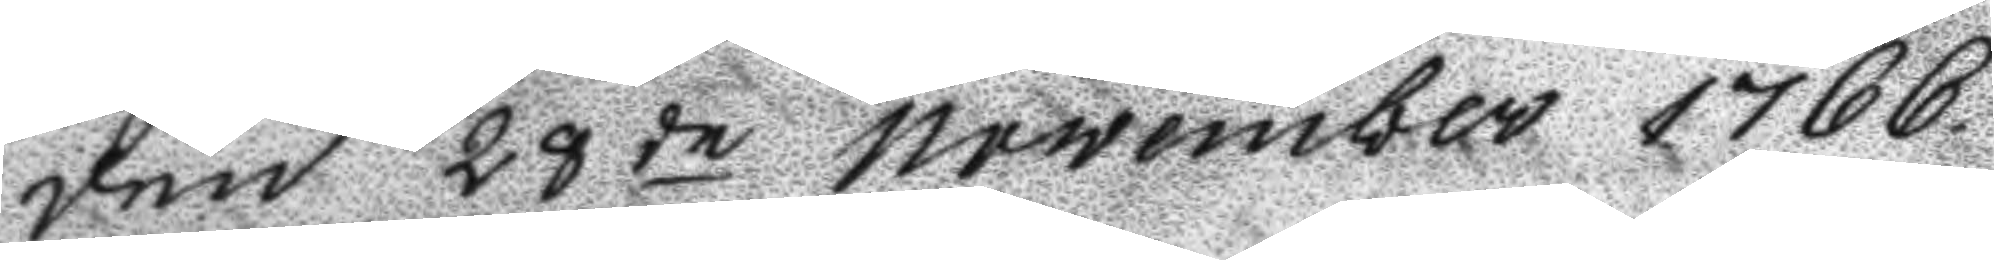den 28de november 1766
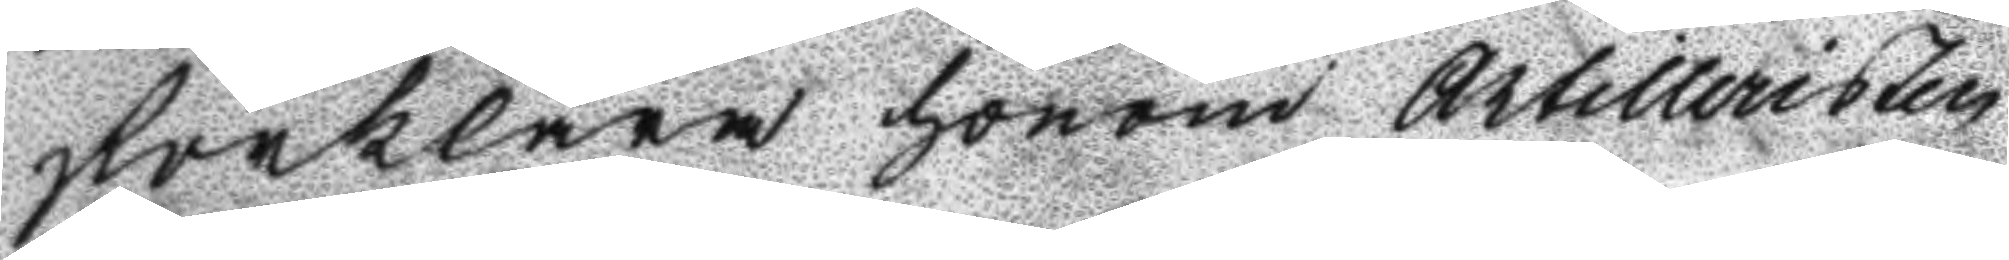förklara honom Artilleristen
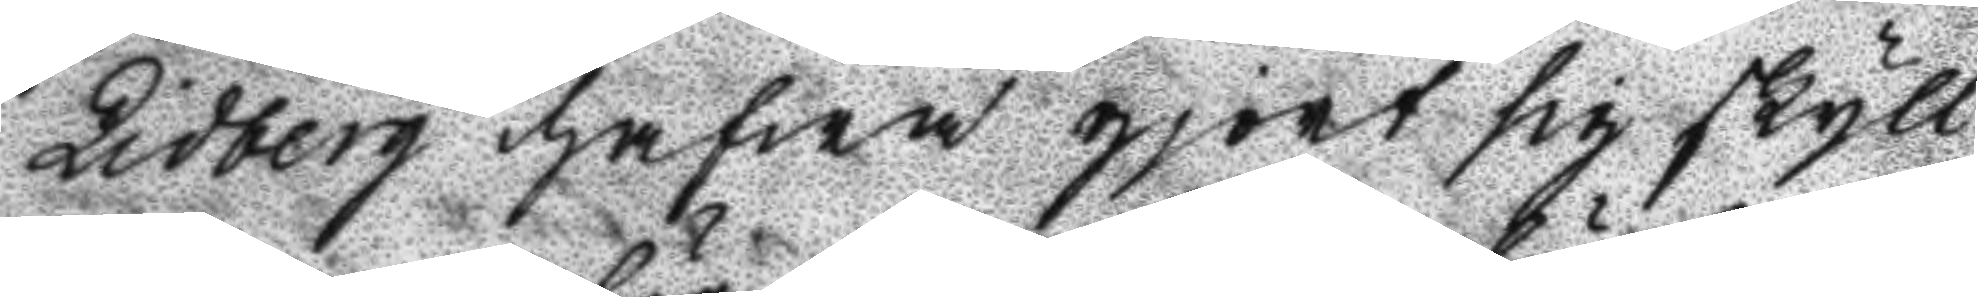Lidberg hafwa gjort sig skyll¬
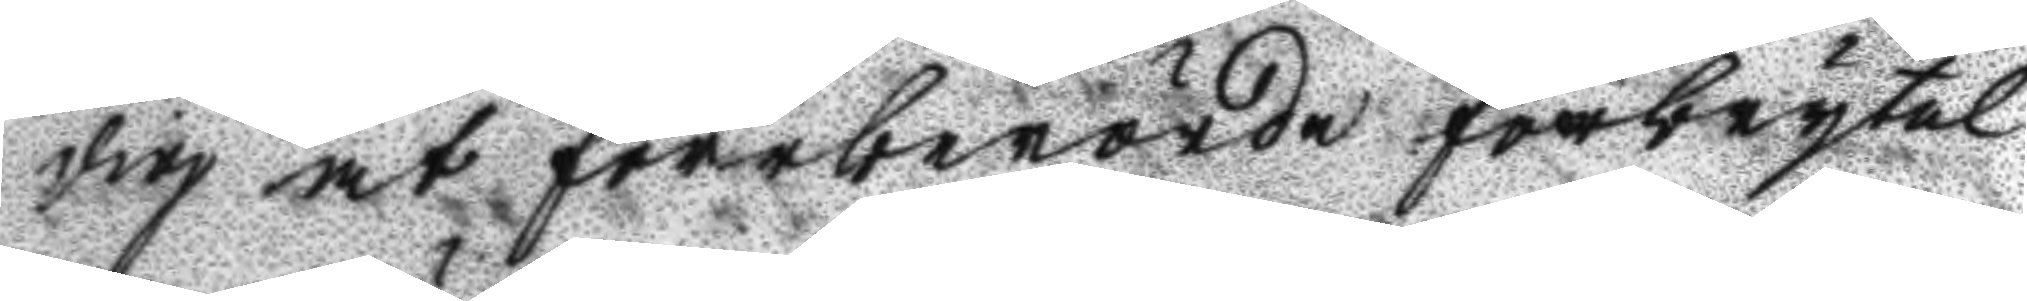dig at förberörde förbrytel¬
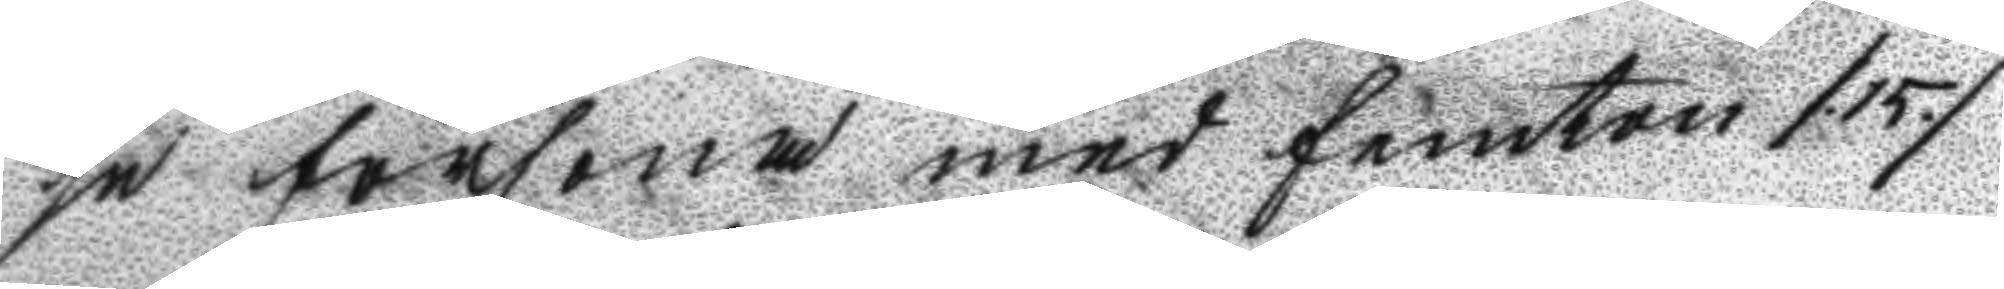se försona med femton /.15./
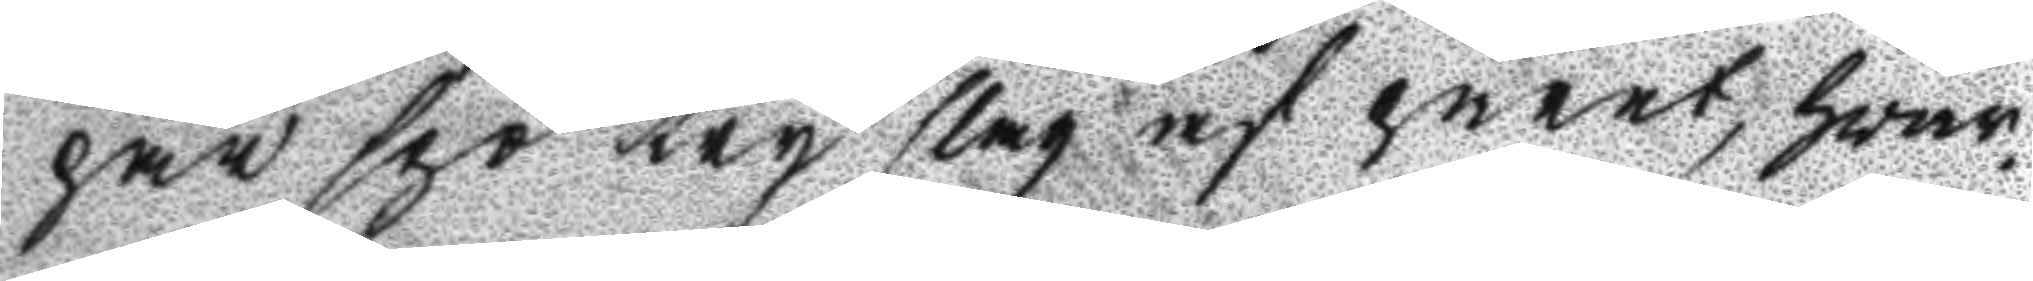par spö try slag af paret, hvar¬
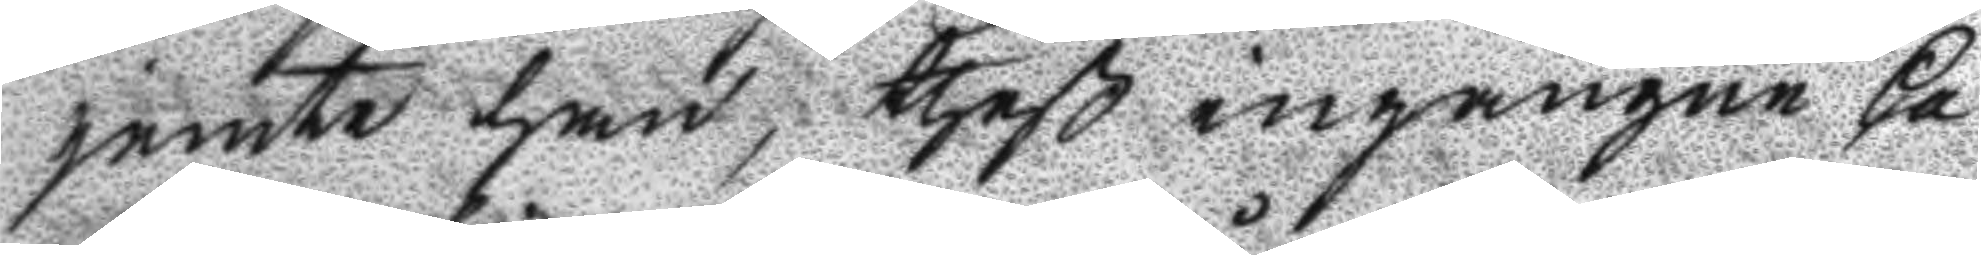jemte han, theß ingångne Ca¬
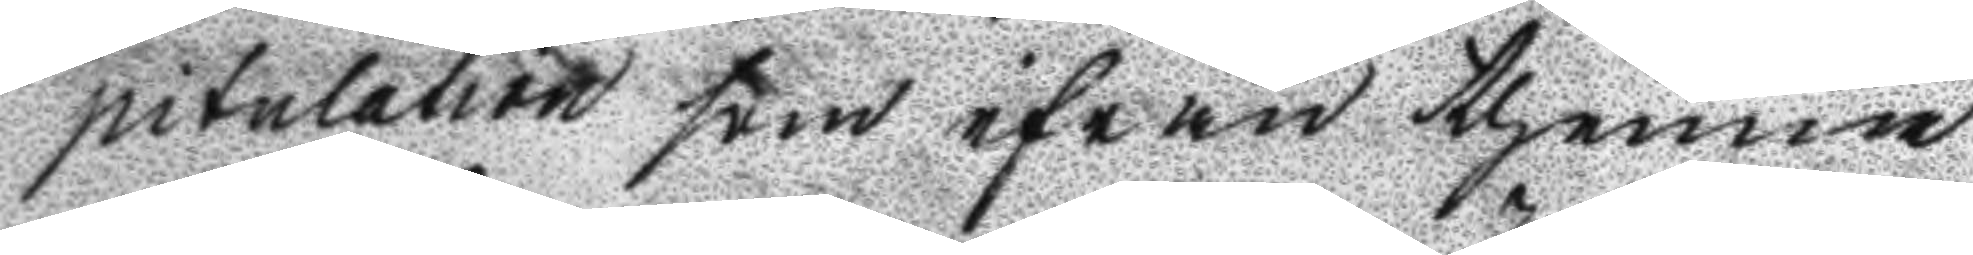pitulation som ifrån thenna
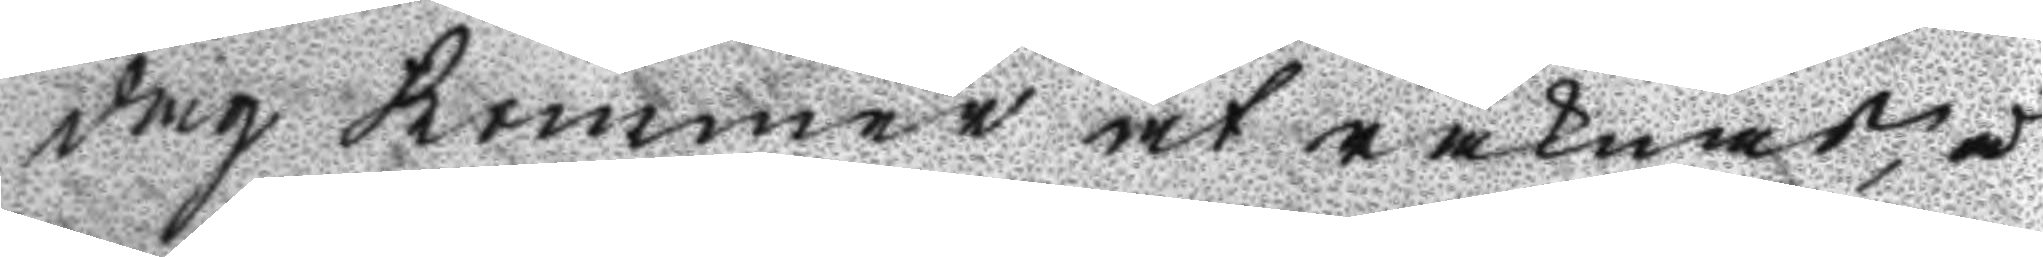dag Kommer at räknas, å
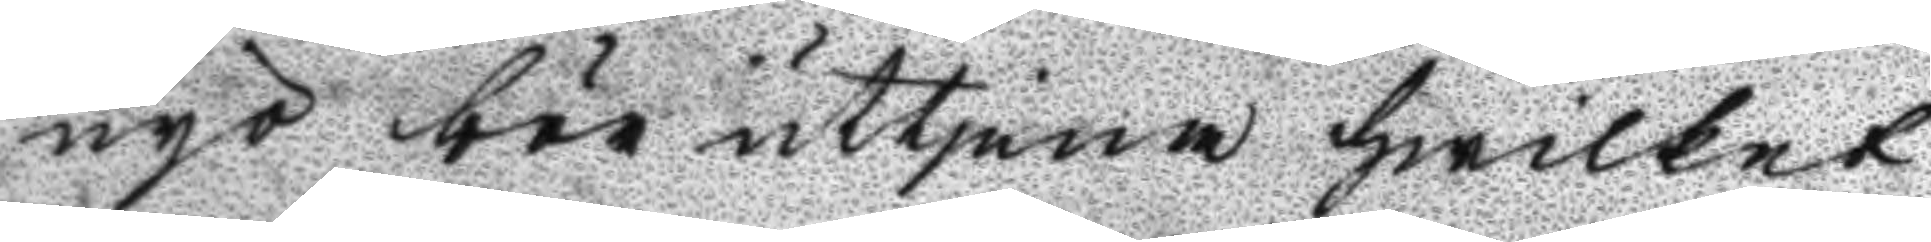nyo bör uttjena hwilket
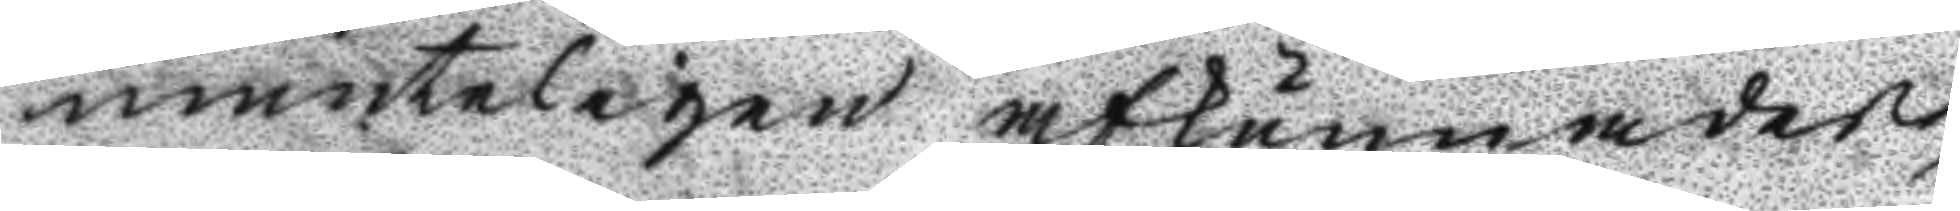munteligen afkunnades,
